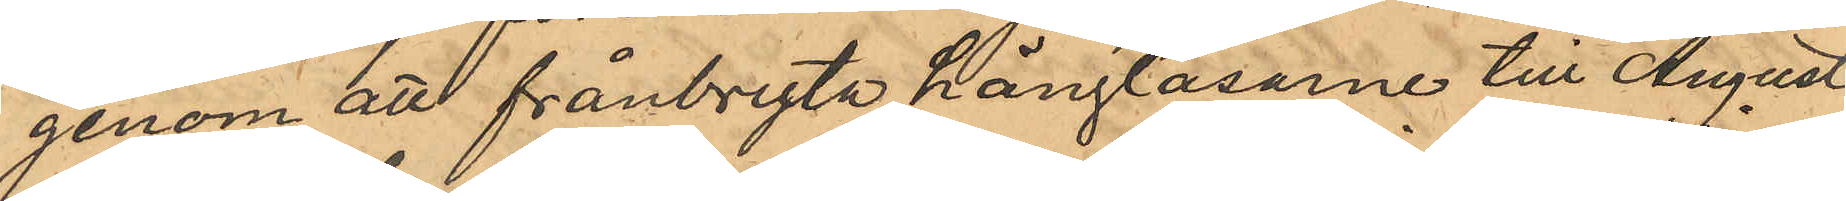genom att frånbryta hänglåsarne till August
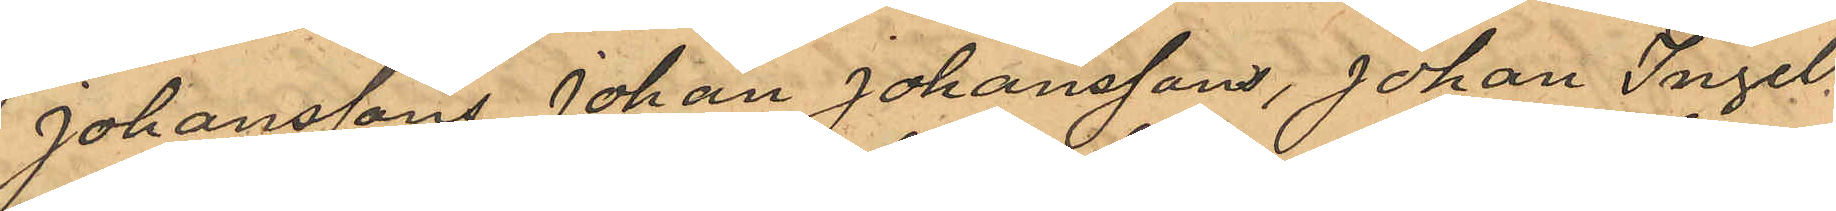Johanssons, Johan Johanssons, Johan Ingel¬
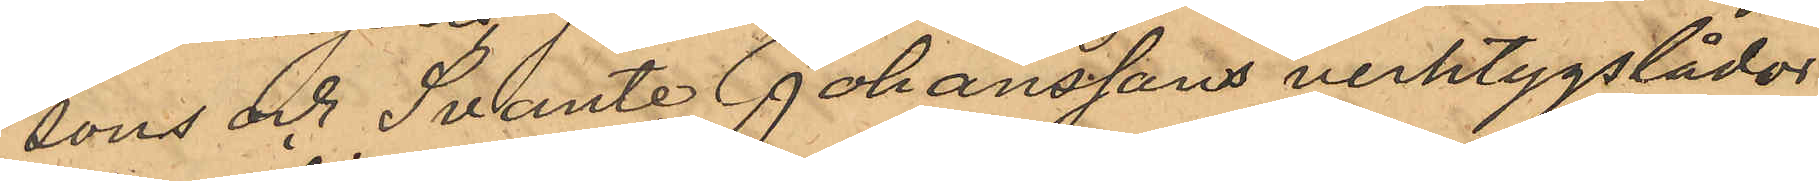sons och Svante Johanssons verktygslådor
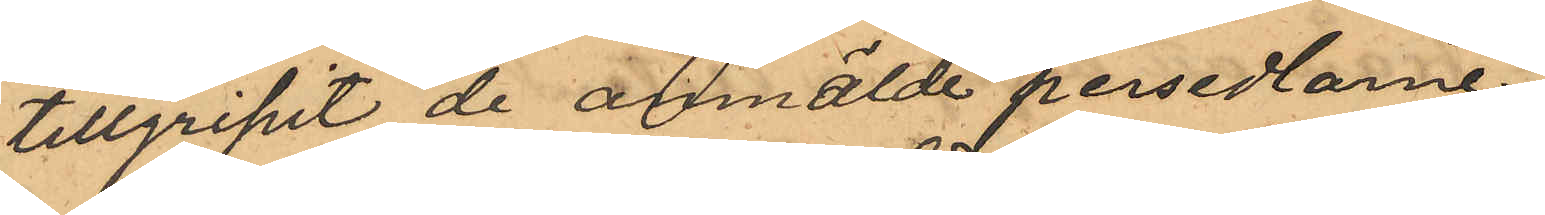tillgripit de anmälde persedlarne.
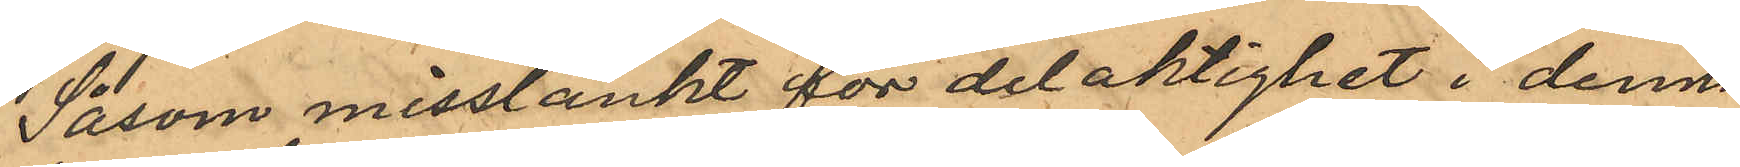Såsom misstänkt för delaktighet i denna
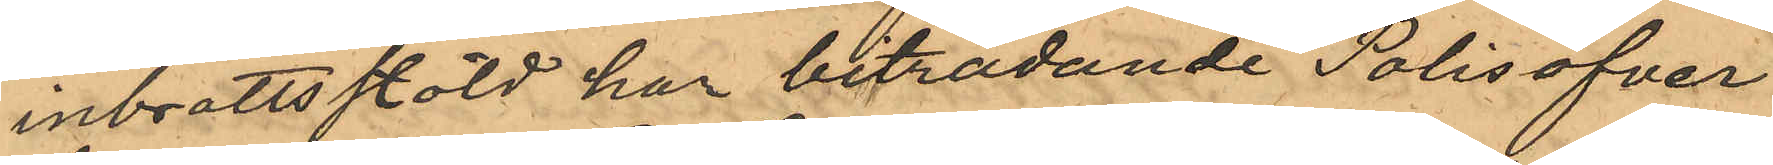inbrottsstöld har biträdande Polisöfver¬
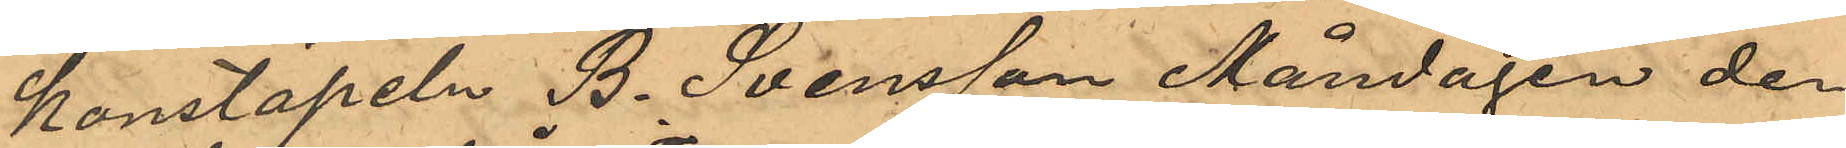konstapeln B. Svensson Måndagen der
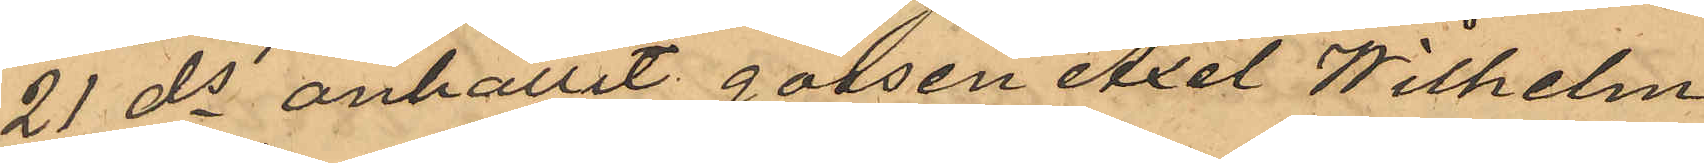21 ds anhållit gossen Axel Wilhelm
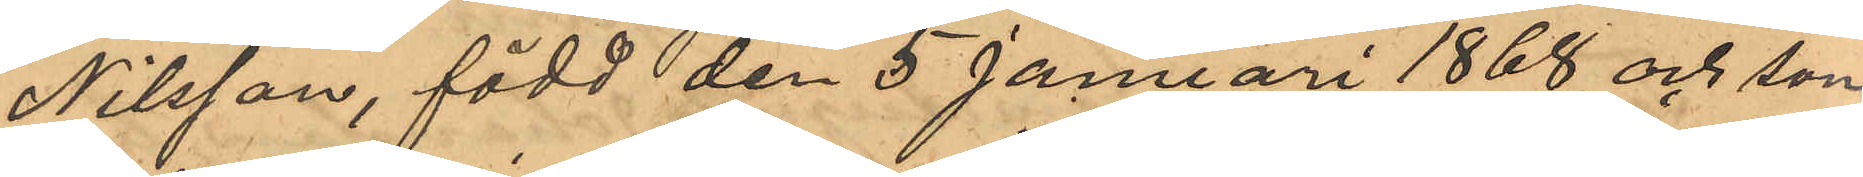Nilsson, född den 5 Januari 1868 och son
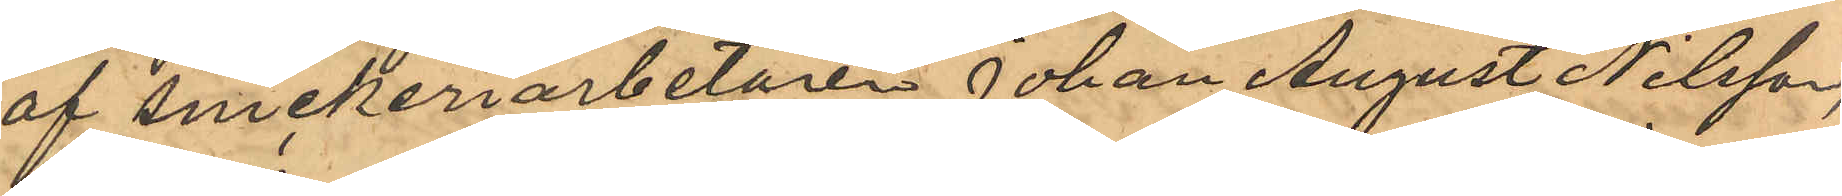af Snickeriarbetaren Johan August Nilsson,
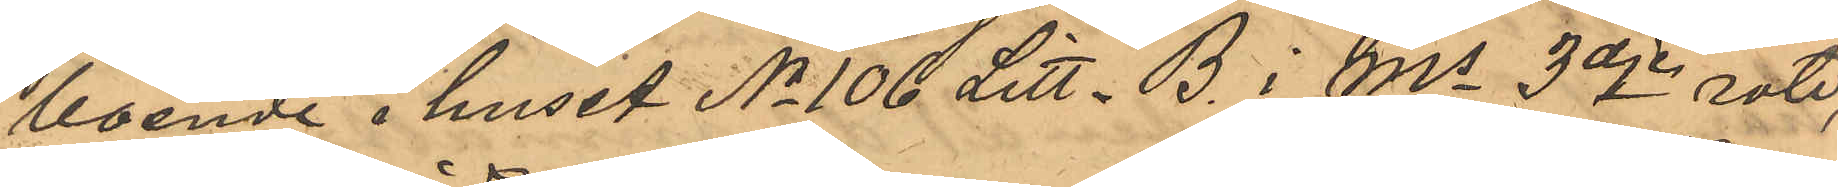boende i huset No 106 Litt. B. i Ms 3dje rote,
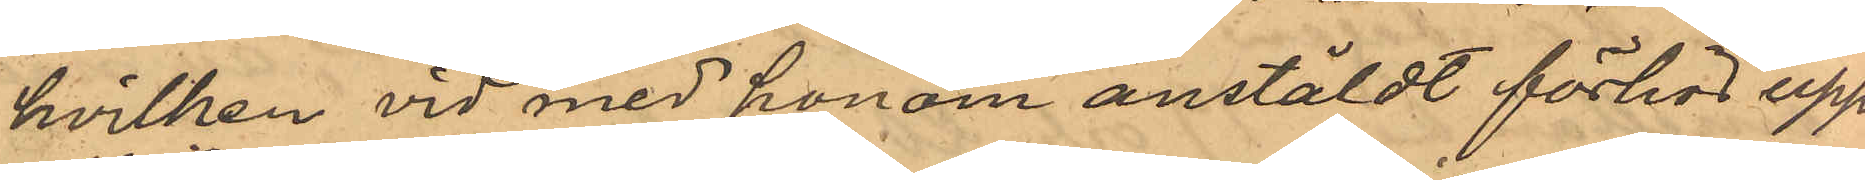hvilken vid med honom anstäldt förhör upp¬
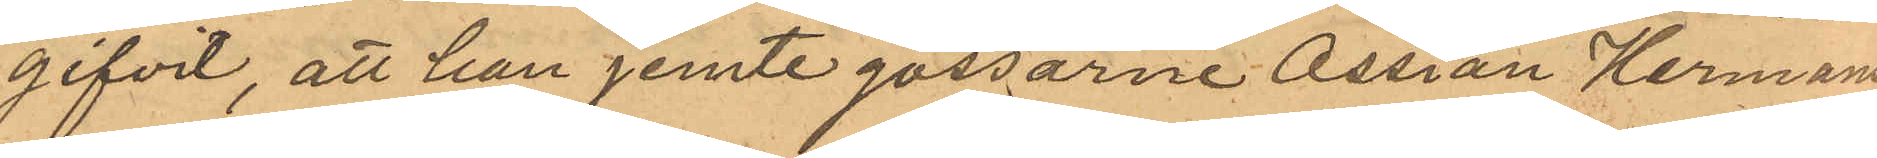gifvit, att han jemte gossarne Ossian Hermans¬
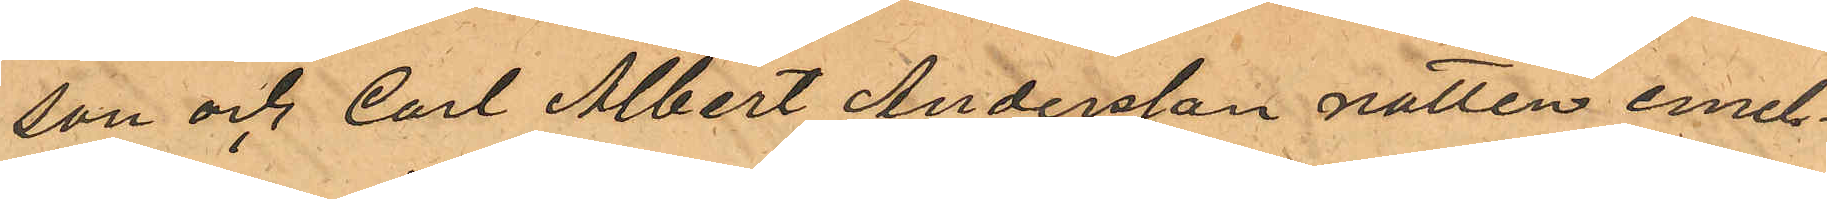son och Carl Albert Andersson natten emel¬
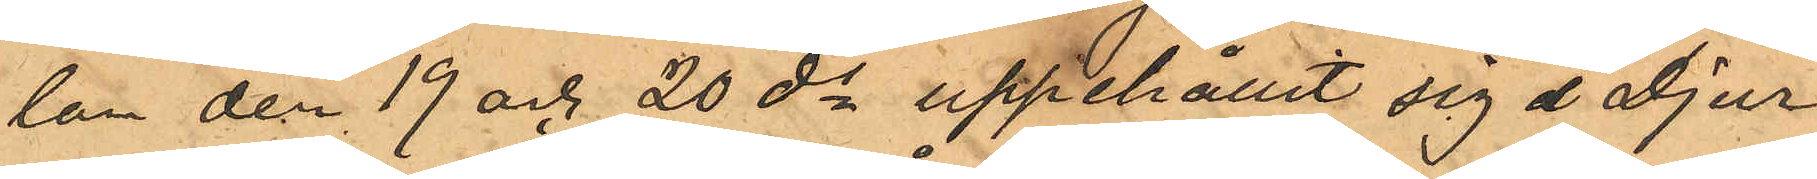lan den 19 och 20 ds uppehållit sig å Djur¬
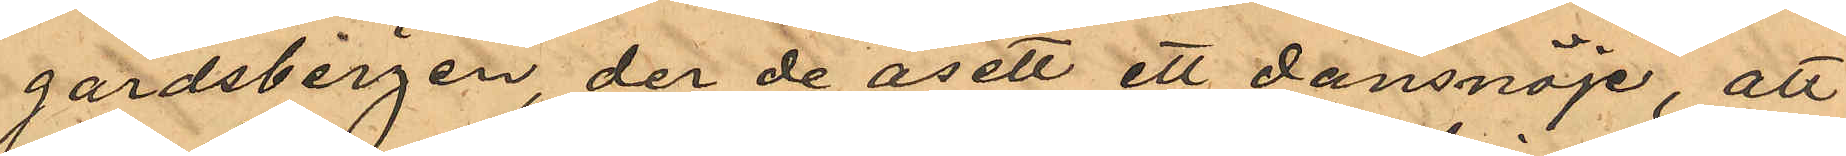gardsbergen der de åsett ett dansnöje, att
